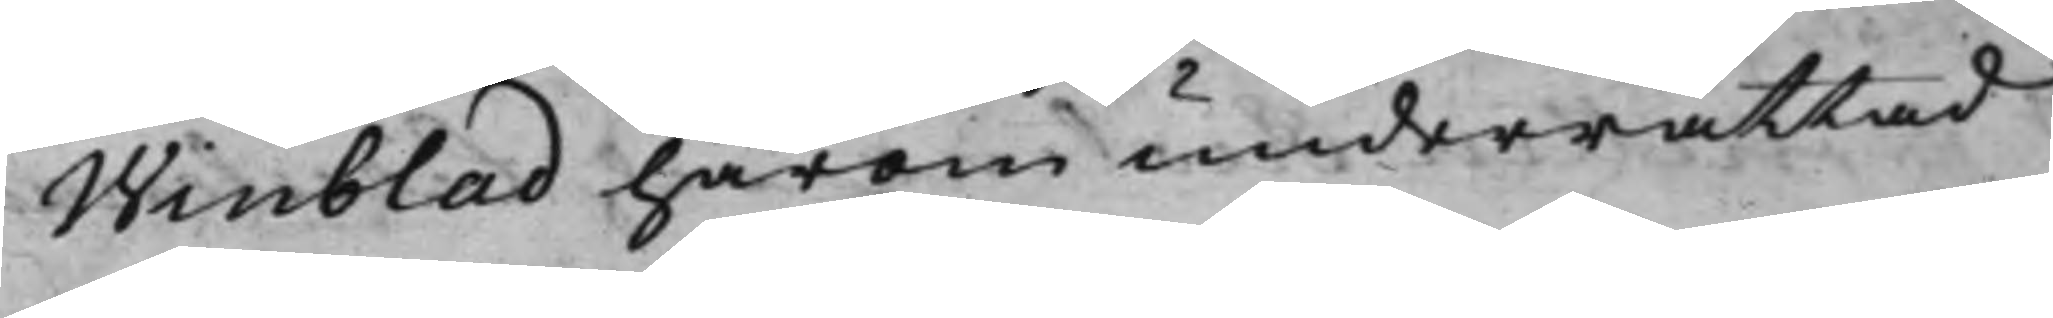Winblad härom underrättad
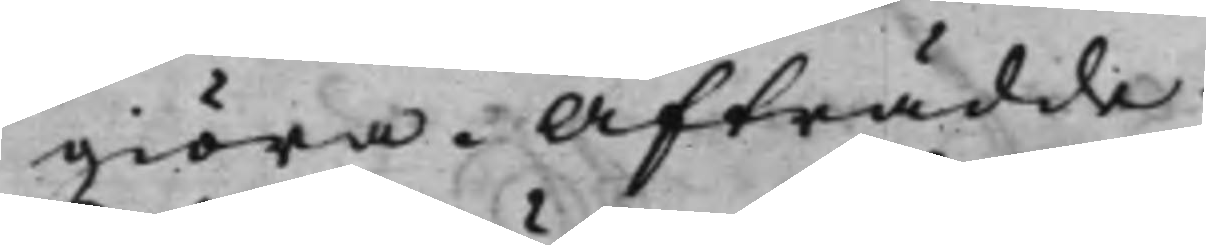giöra. Afträdde.
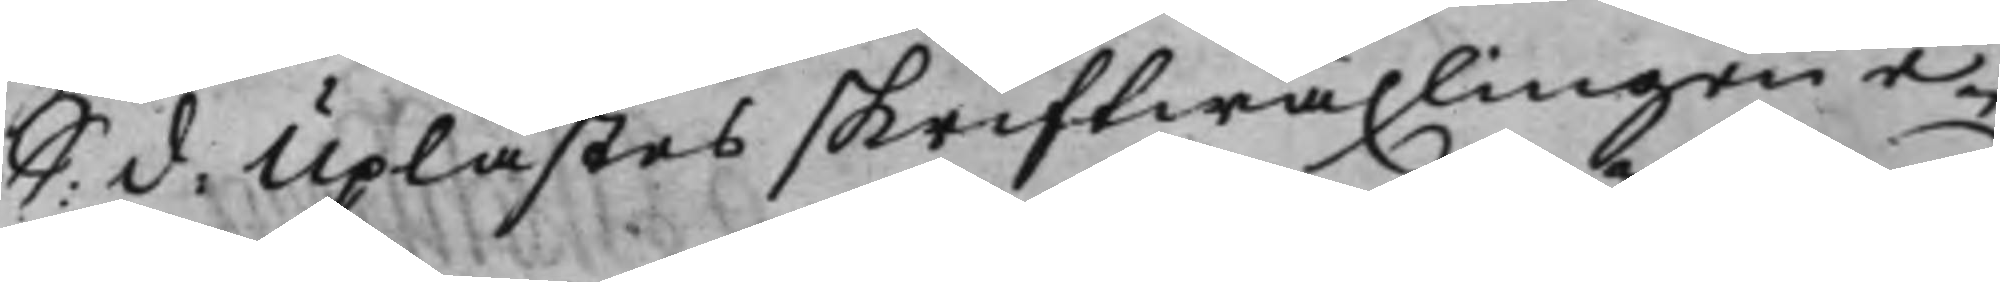S: d: Uplästes skriftwäxlingen e¬
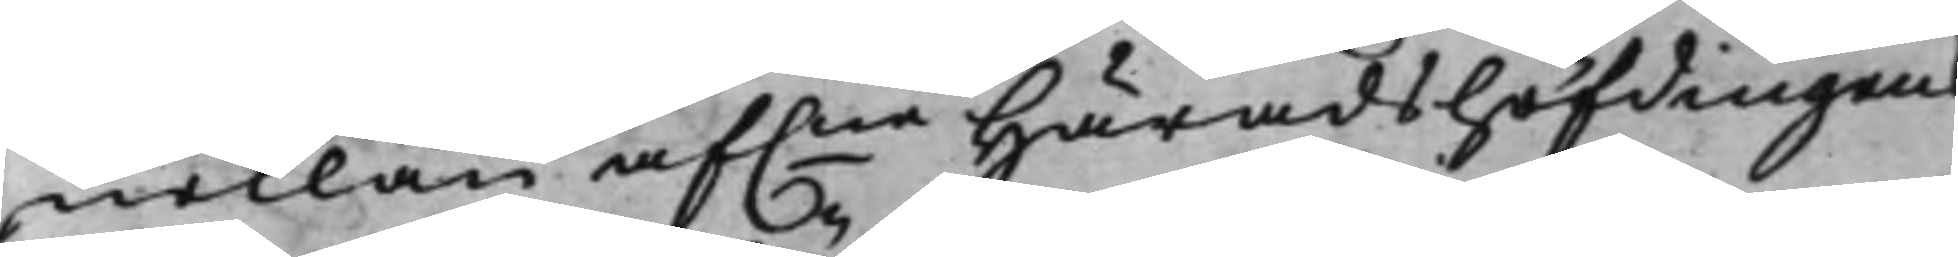mellan af.ne Häradshöfdingen
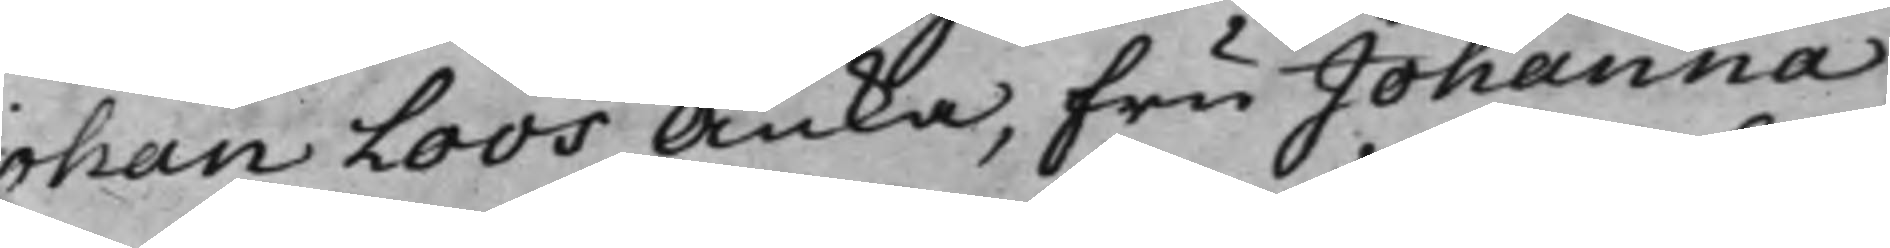Johan Loos Änka, Fru Johanna
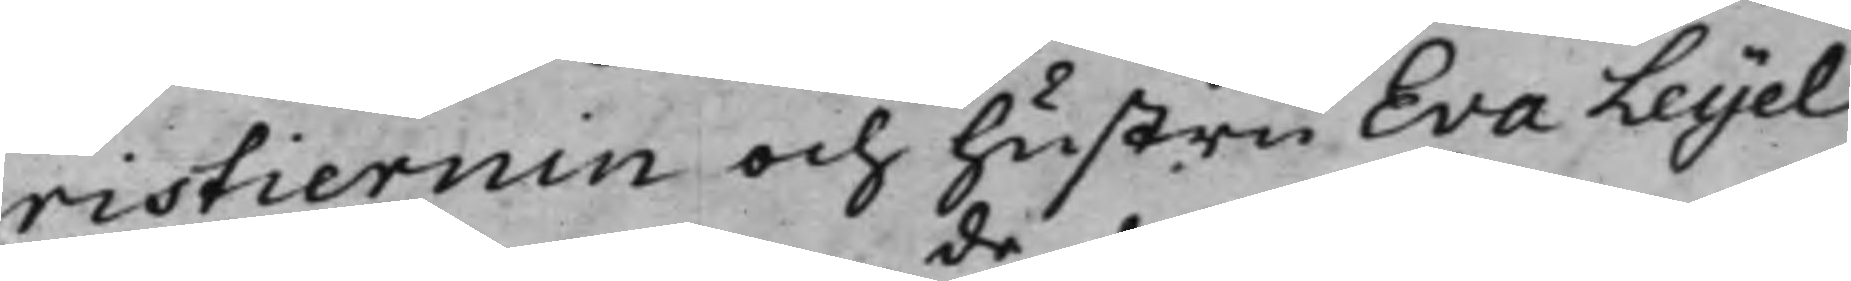ristiernin och hustru Eva Leyel
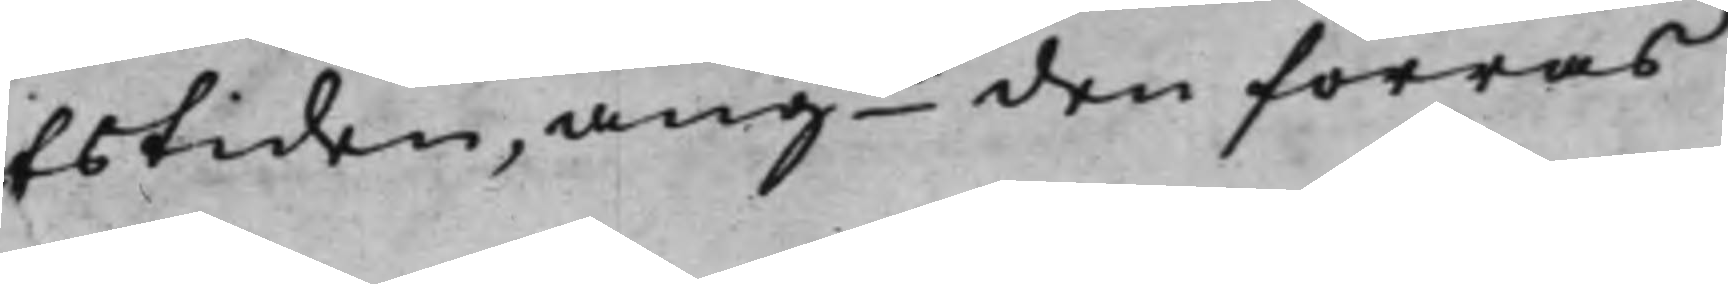fstiden, angde den förras
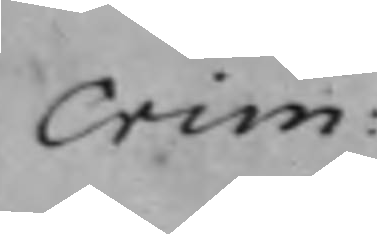Crim:
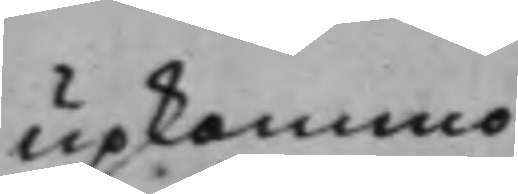upkommo
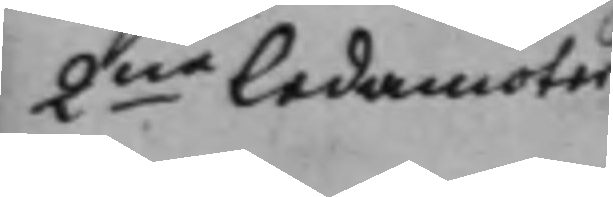2ne Ledamöter
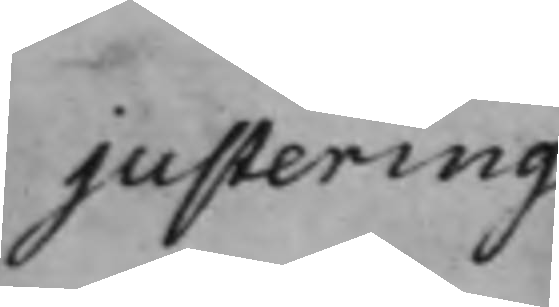justering
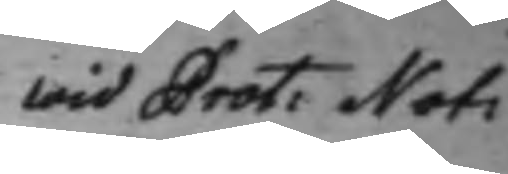Wid Prot: Not:
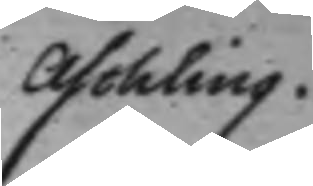Aschling.
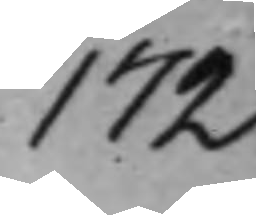172
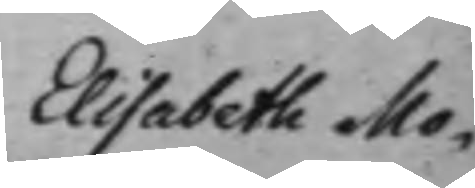Elisabeth Mo¬
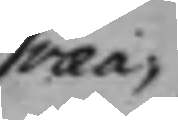ræa,
